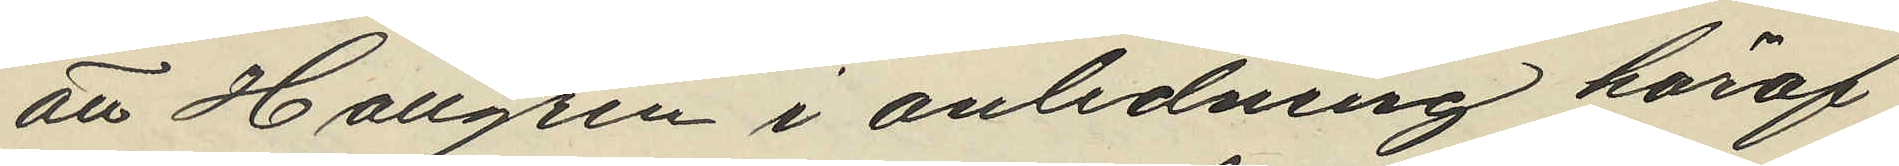att Hallgren i anledning häraf
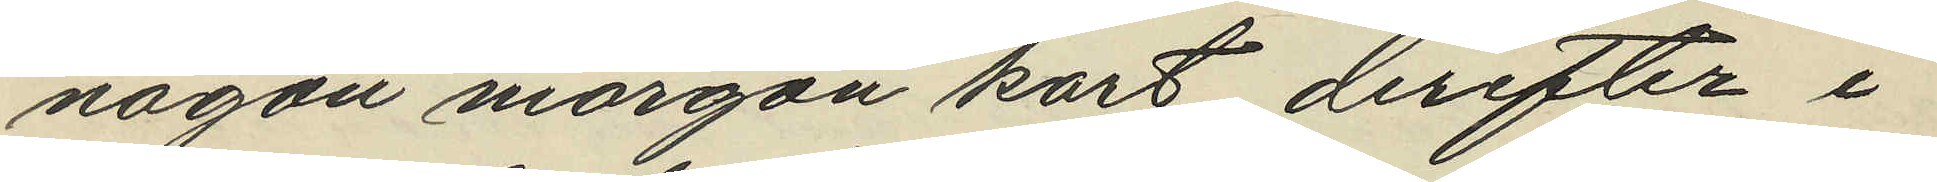någon morgon kort derefter i
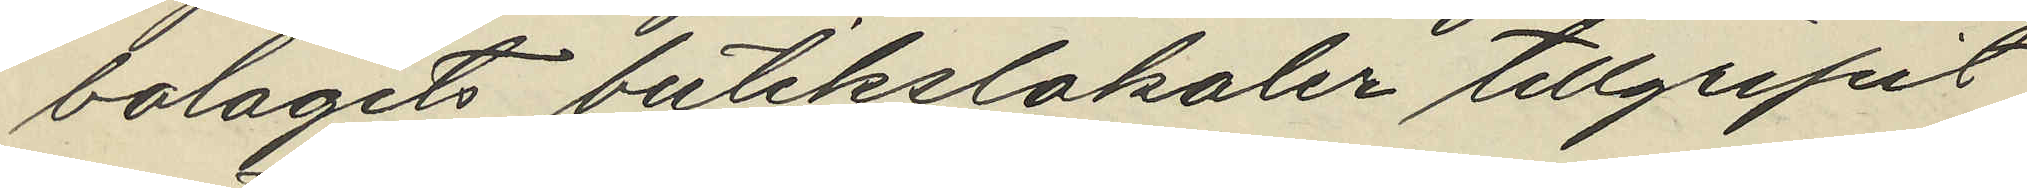bolagets butikslokaler tillgripit
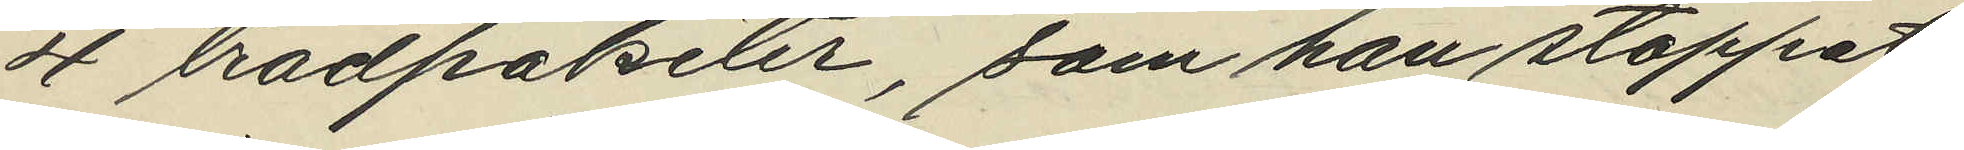4 trådpaketer, som han stoppat
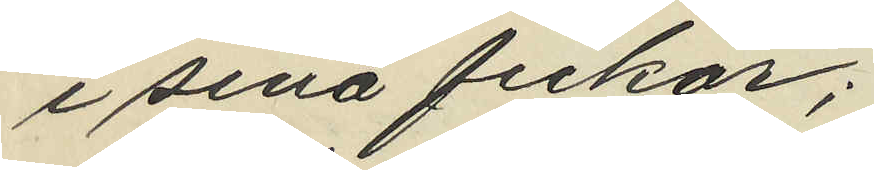i sina fickor;
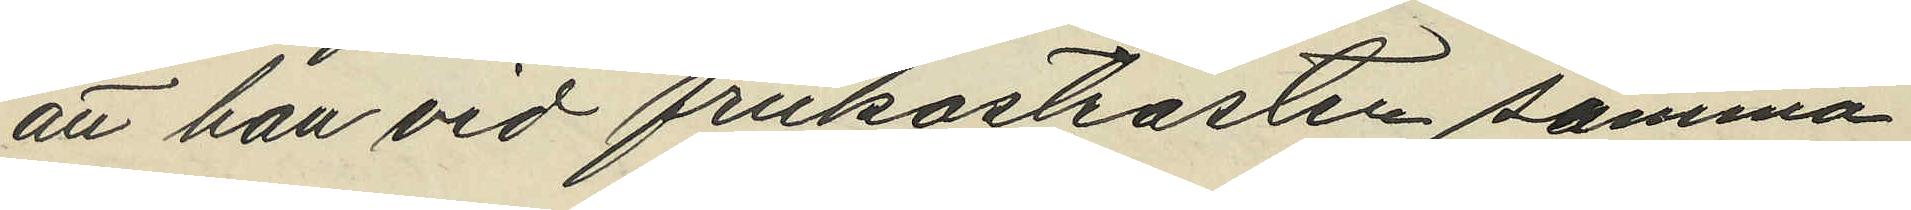att han vid frukostrasten samma
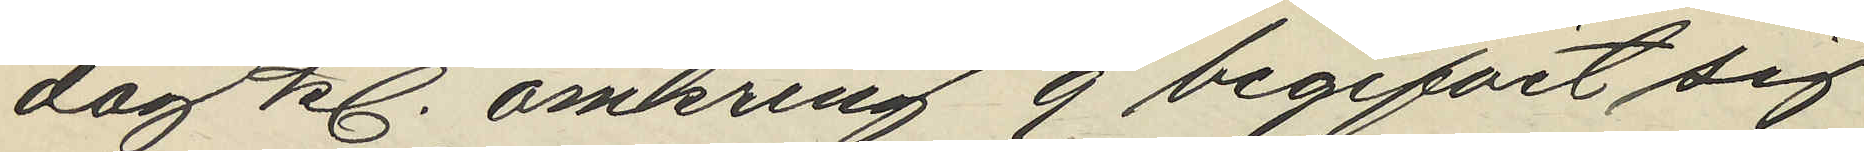dag kl. omkring 9 begifvit sig
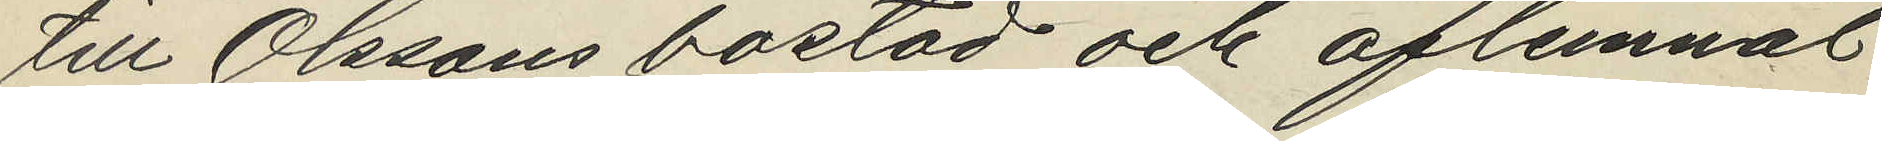till Olssons bostad och aflemnat
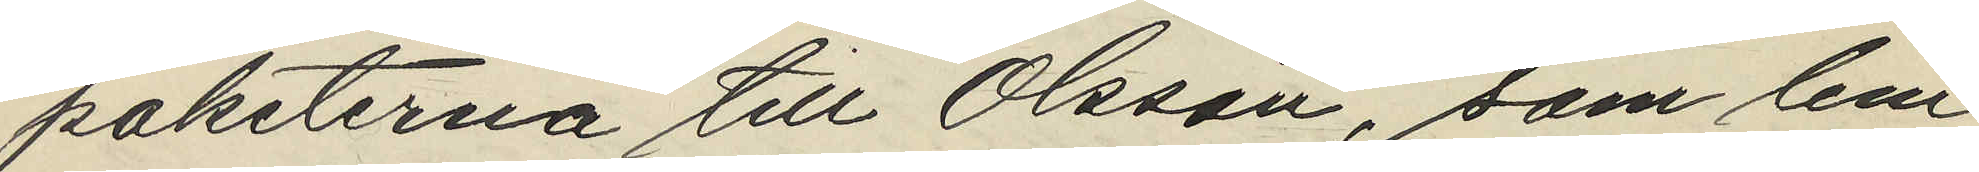paketerna till Olsson, som lem¬
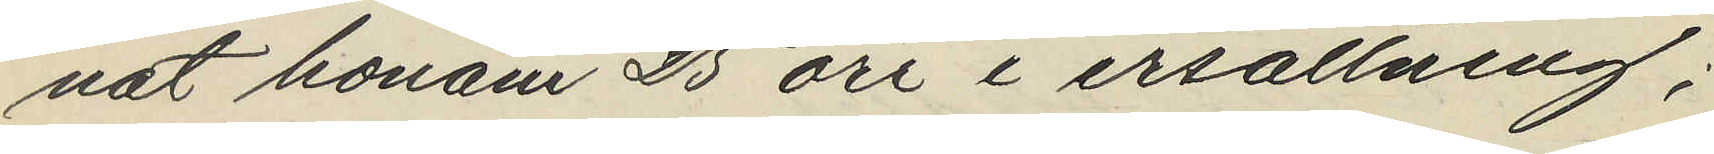nat honom 25 öre i ersättning;
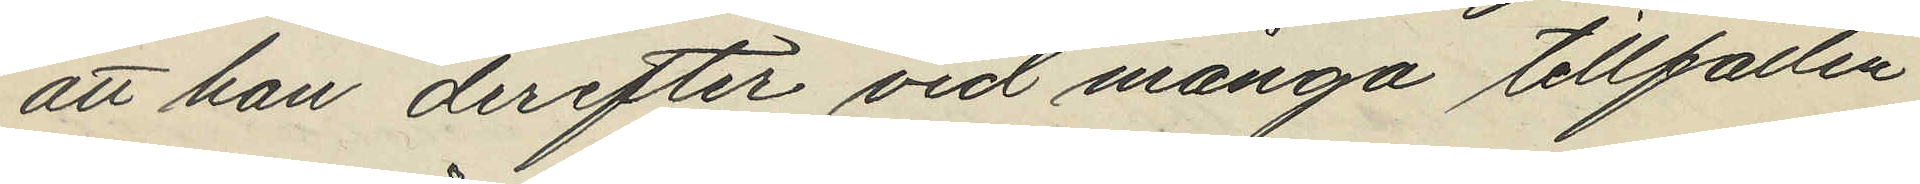att han derefter vid många tillfällen
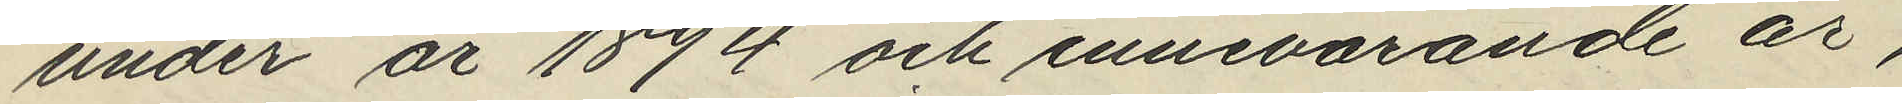under år 1894 och innevarande år,
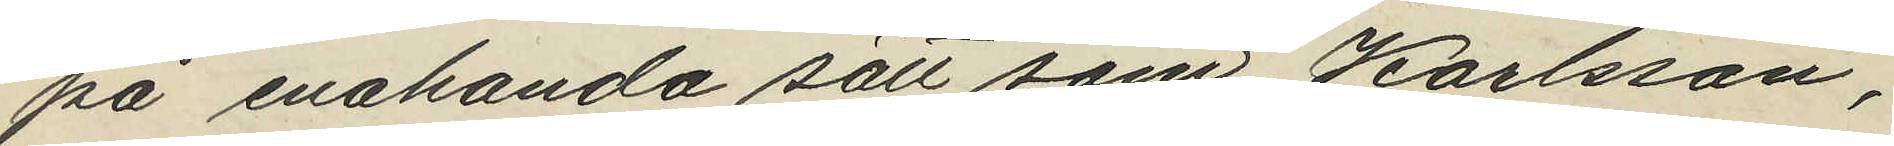på enahanda sätt som Karlsson,
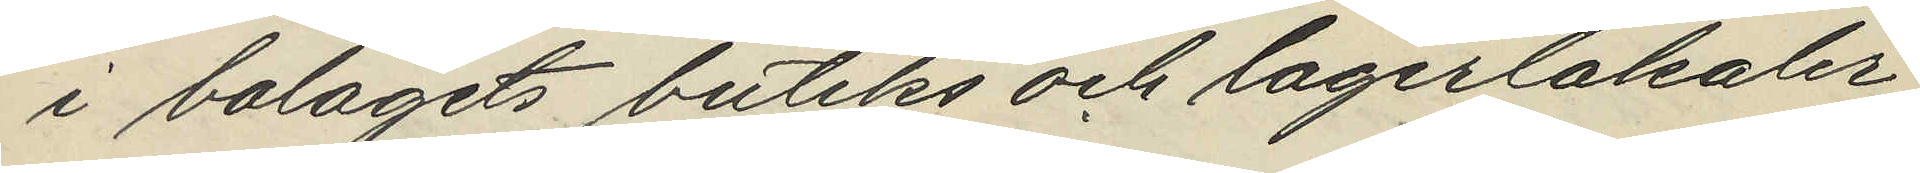i bolagets butiks och lagerlokaler
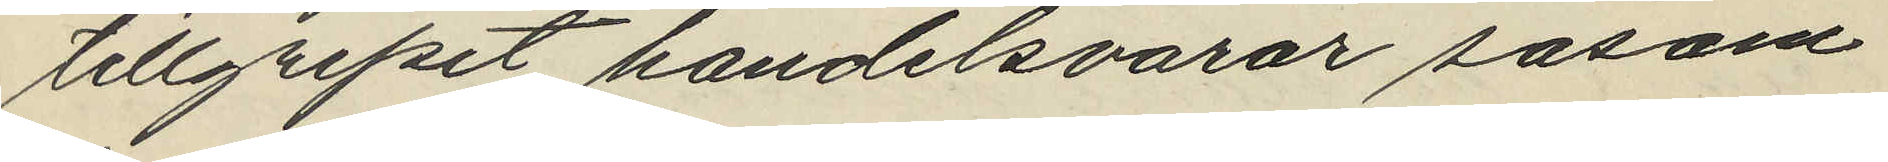tillgripit handelsvarar såsom
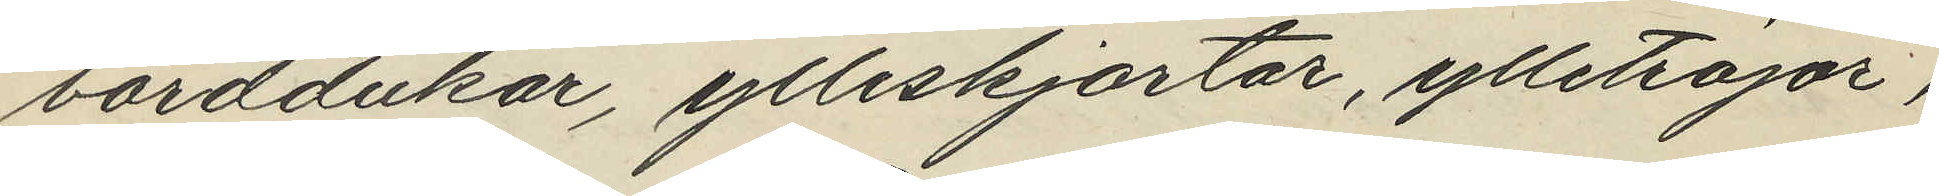borddukar, ylleskjortar, ylletröjor,
